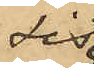sist
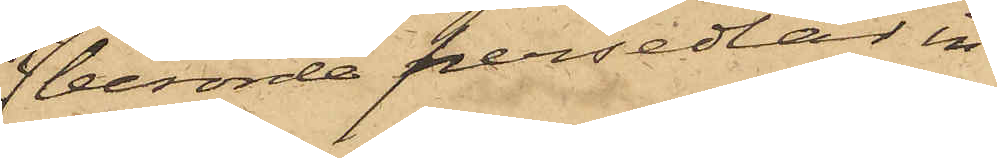berörde persedlar in¬
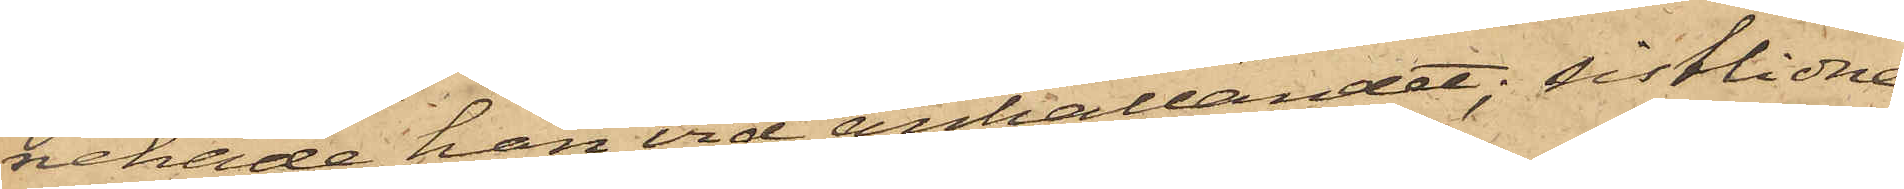nehade han vid anhållandet; sistlidne
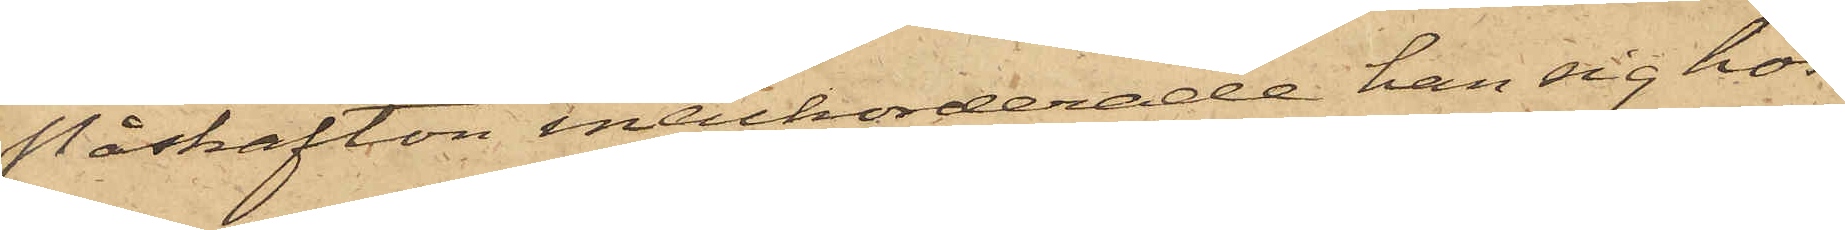Påskafton inackorderade han sig hos
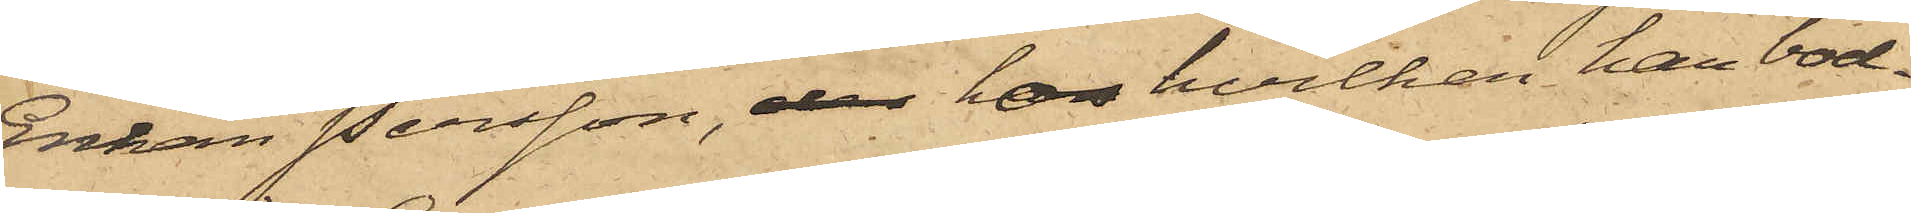Enkan Persson, der hos hvilken han bod¬
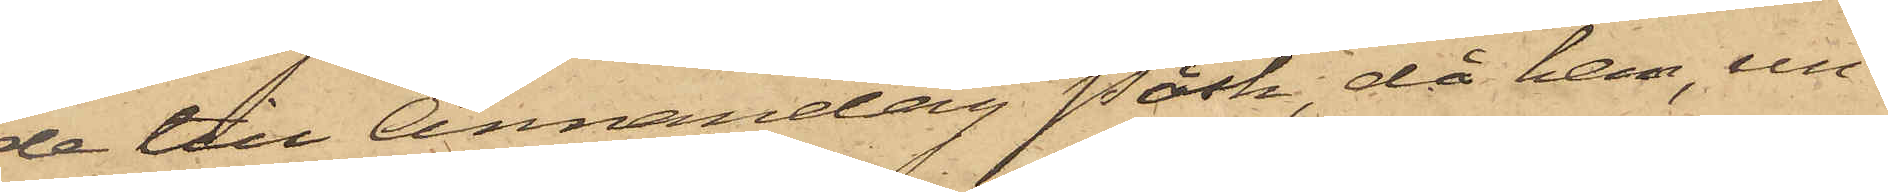de till Annandag Påsk, då han, un¬
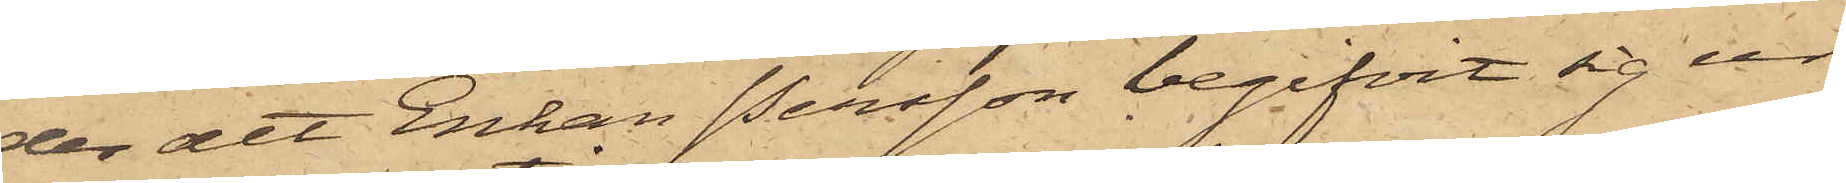der att Enkan Persson begifvit sig ur
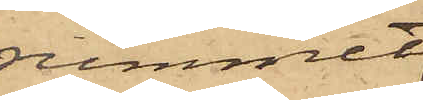rummet,
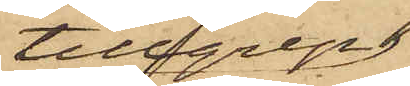tillgrep
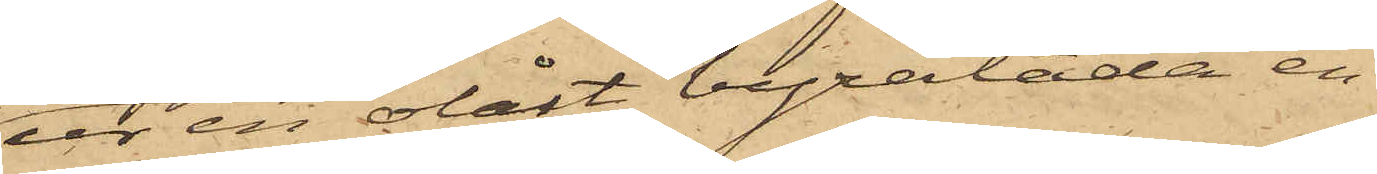ur en olåst byrålåda en
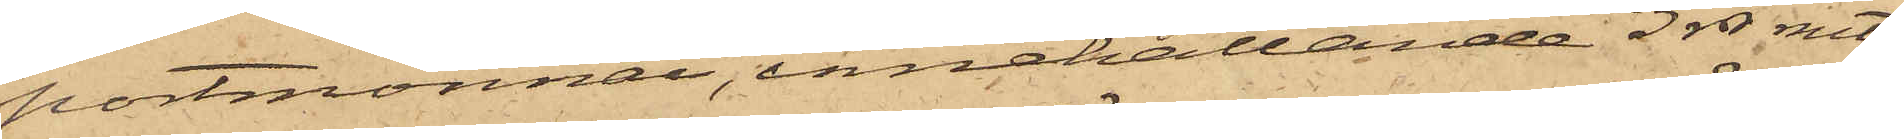portmonnai, innehållande 3 rdr rmt,
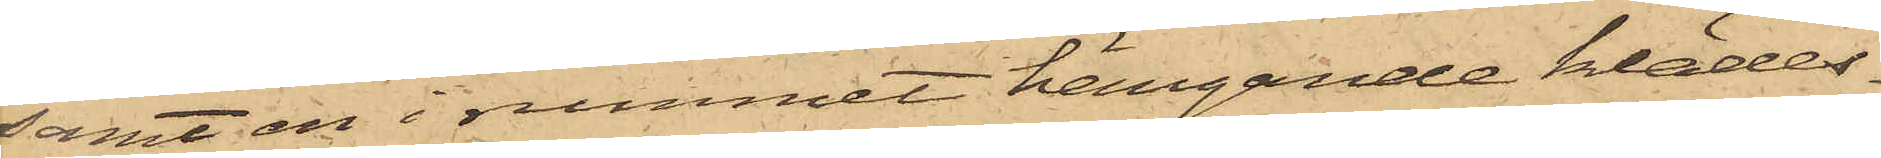samt en i rummet hängande klädes¬
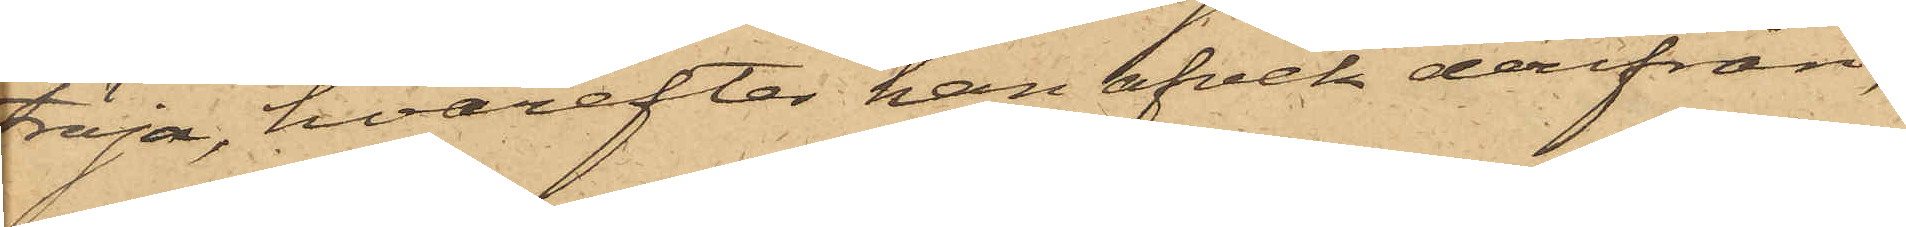tröja, hvarefter han afvek derifrån;
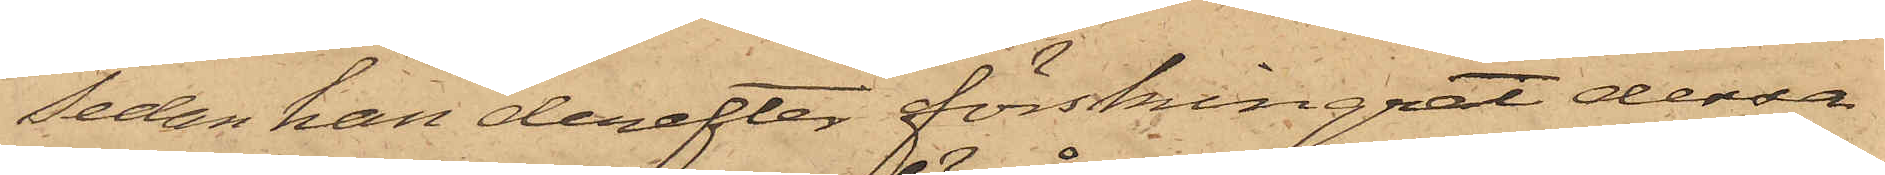Sedan han derefter förskingrat dessa
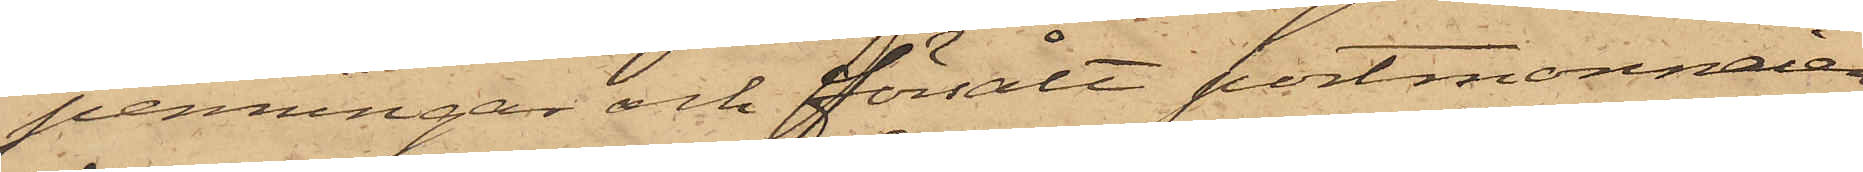penningar och försålt portmonnaien
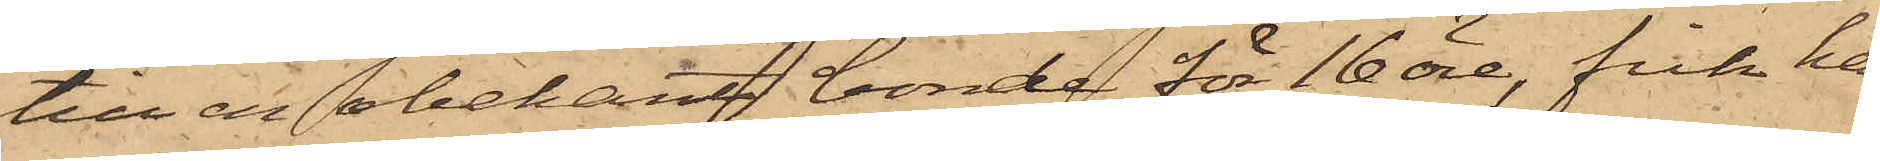till en obekant bonde för 16 öre, fick han
